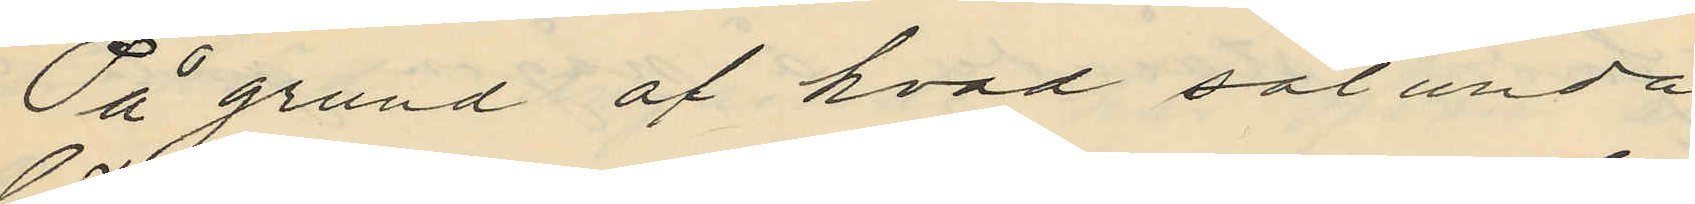På grund af hvad sålunda
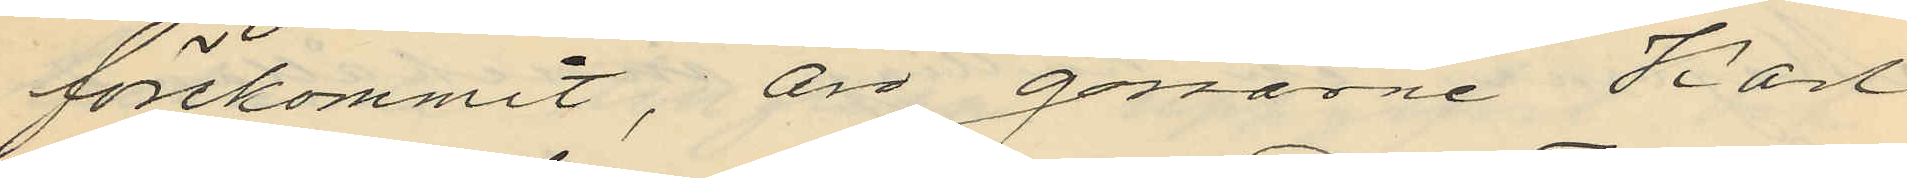förekommit, äro gossarne Karl
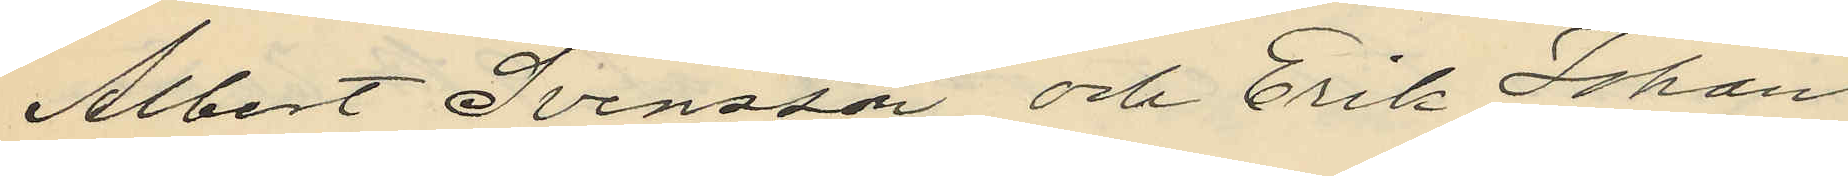Albert Svensson och Erik Johan
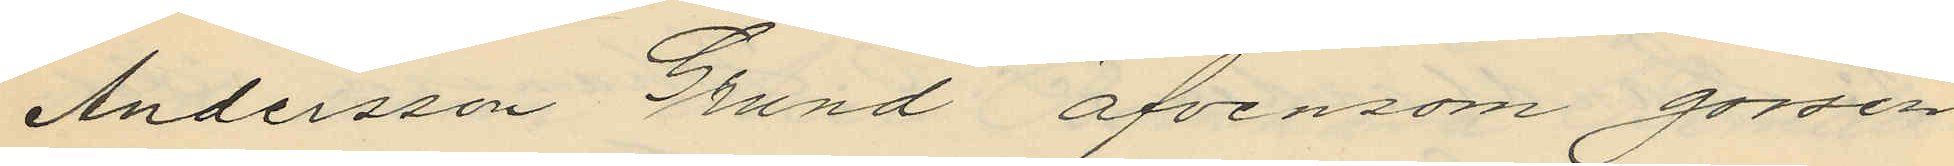Andersson Grund äfvensom gossen
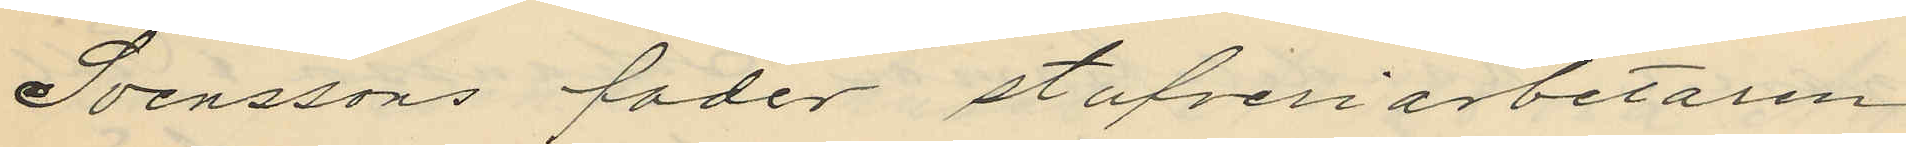Svenssons fader stufveriarbetaren
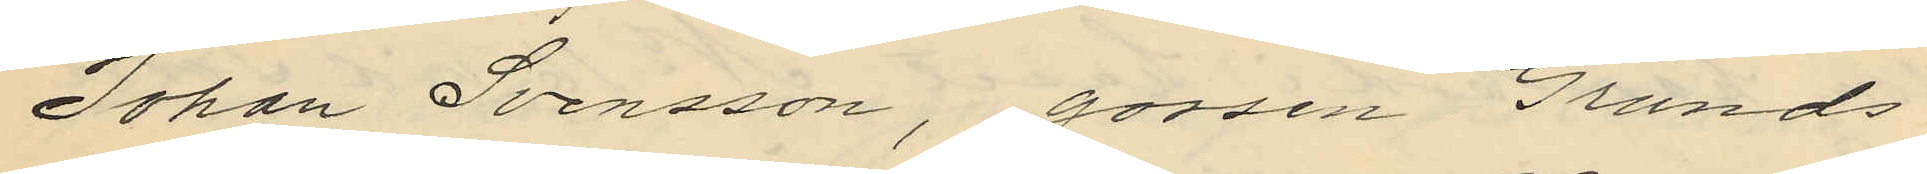Johan Svensson, gossen Grunds
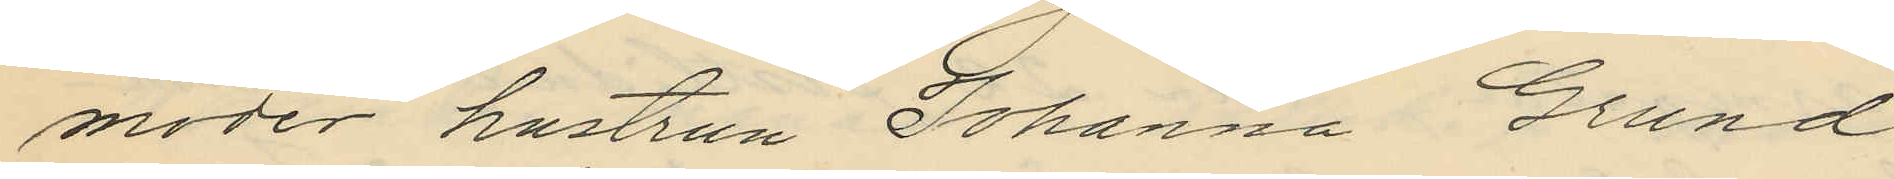moder hustrun Johanna Grund
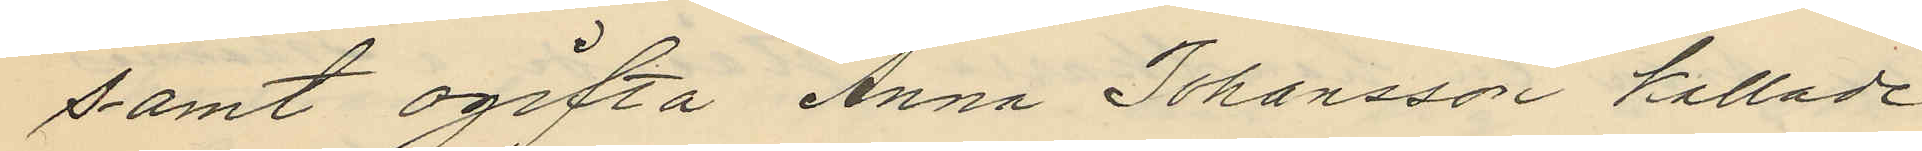samt ogifta Anna Johansson kallade
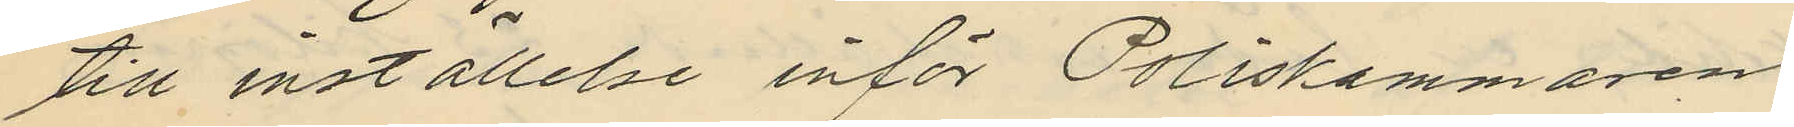till inställelse inför Poliskammaren
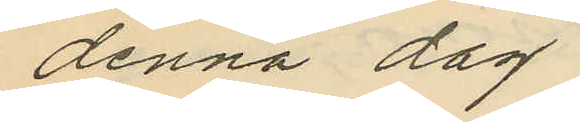denna dag.
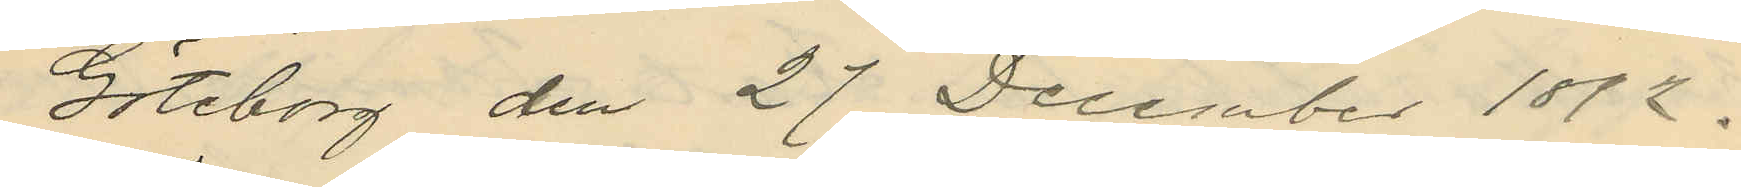Göteborg den 27 December 1892.
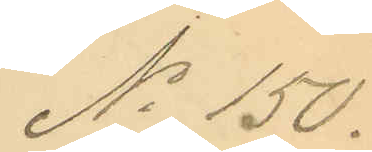No 150.
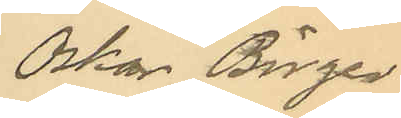Oskar Birger
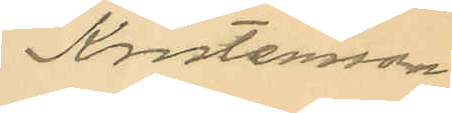Kristensson
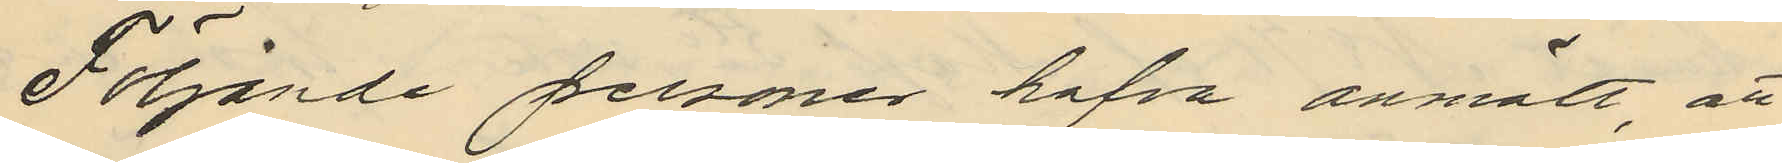Följande personer hafva anmält, att
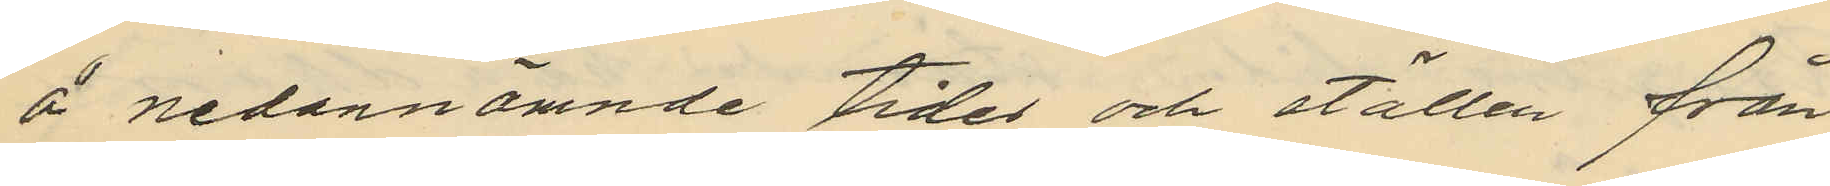å nedannämnde tider och ställen från
